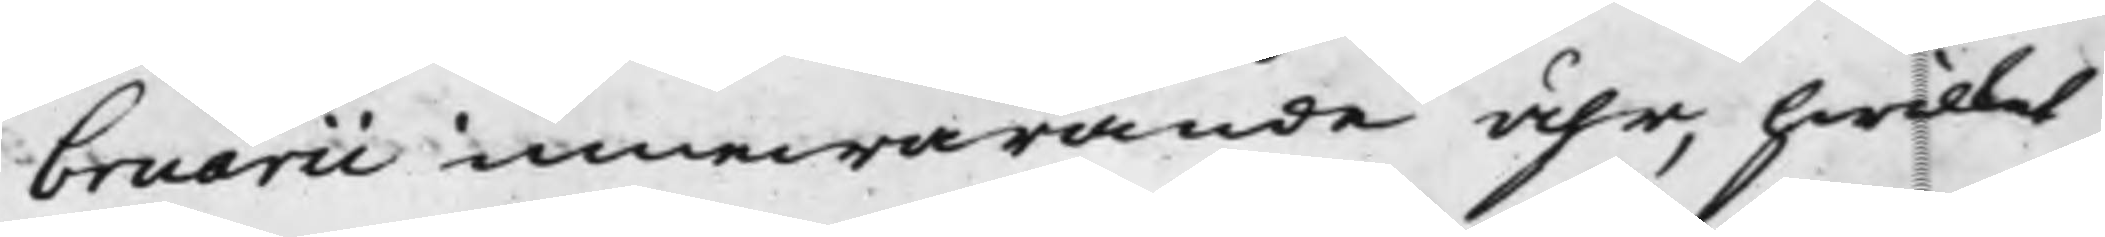bruarii innewarande åhr, hwilket
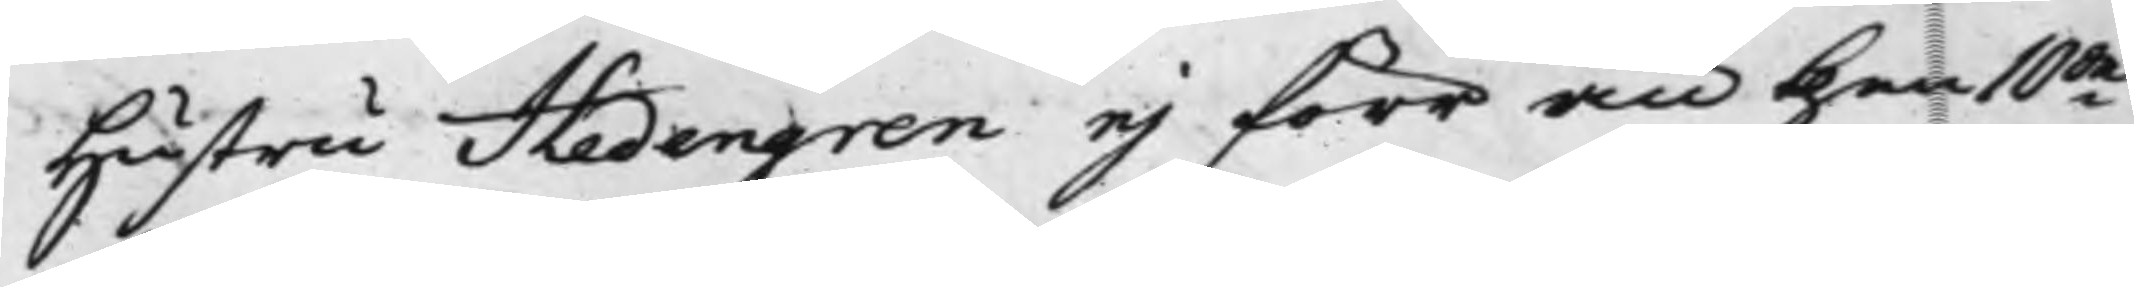Hustru Hedengren ej förr än then 10
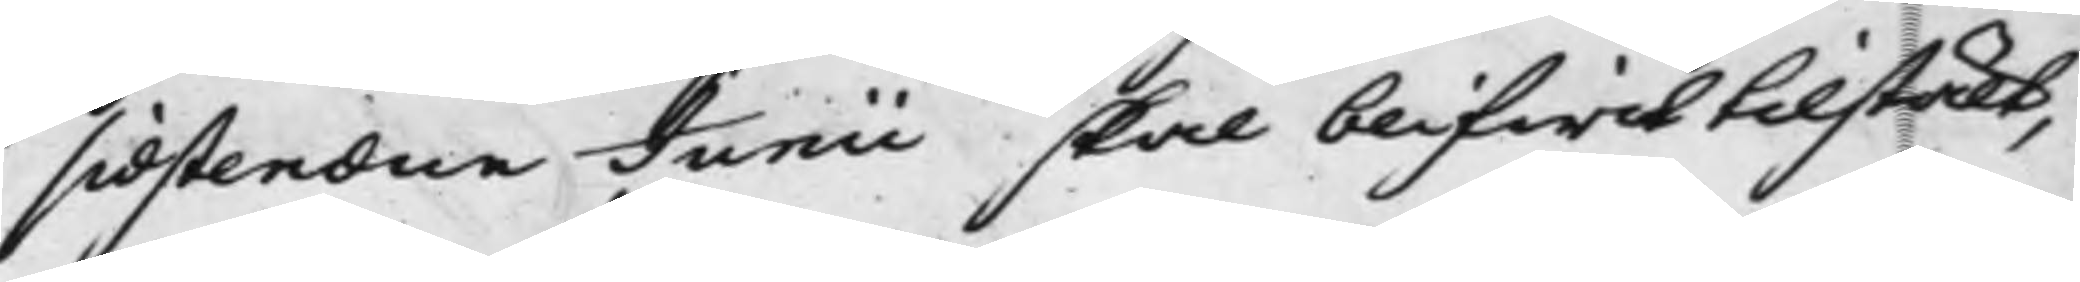sidstledne Junii skal blifwit tillstält,
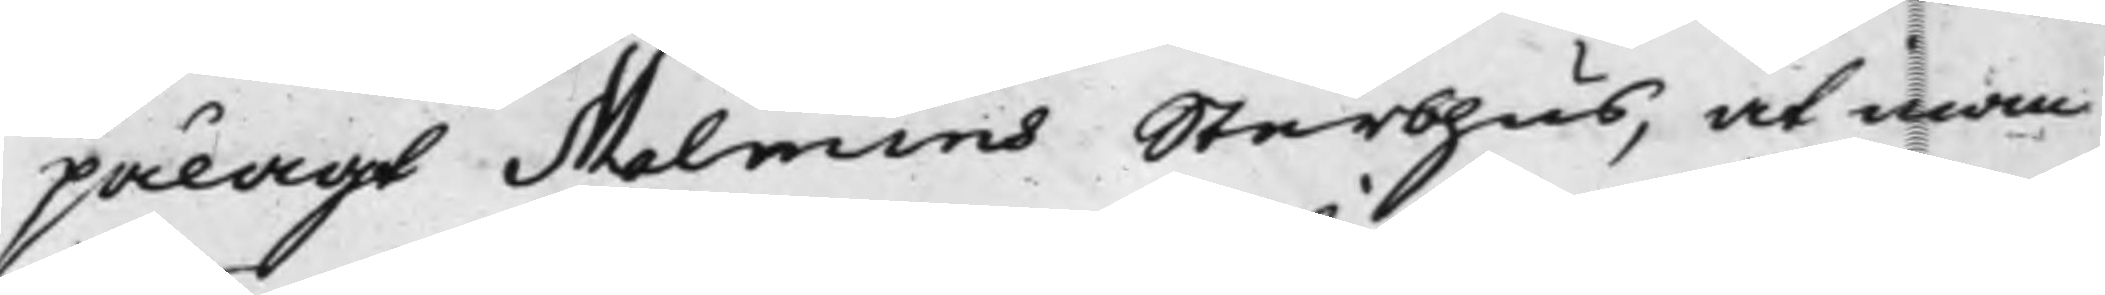pålagt Malmins Sterbhus, at inom
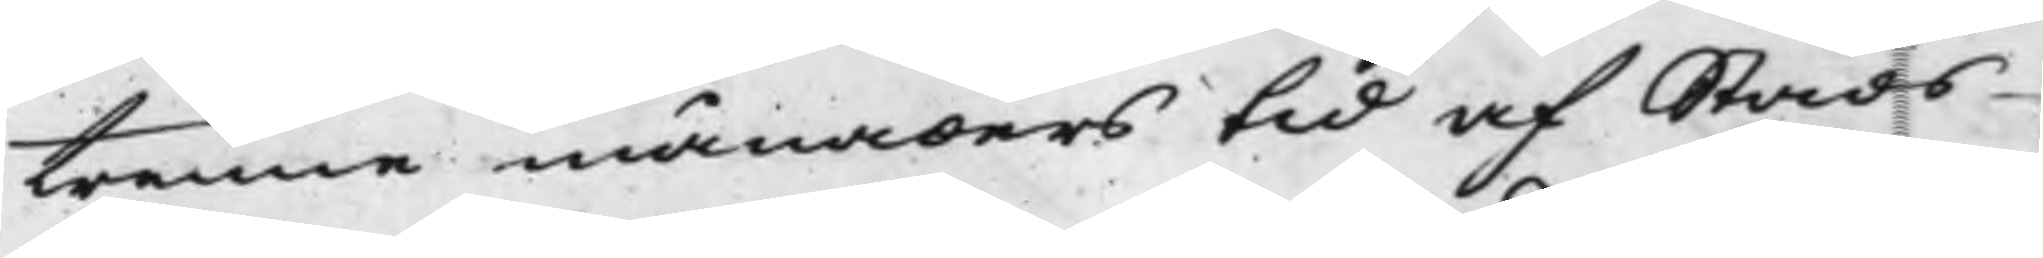trenne månaders tid af Stads¬
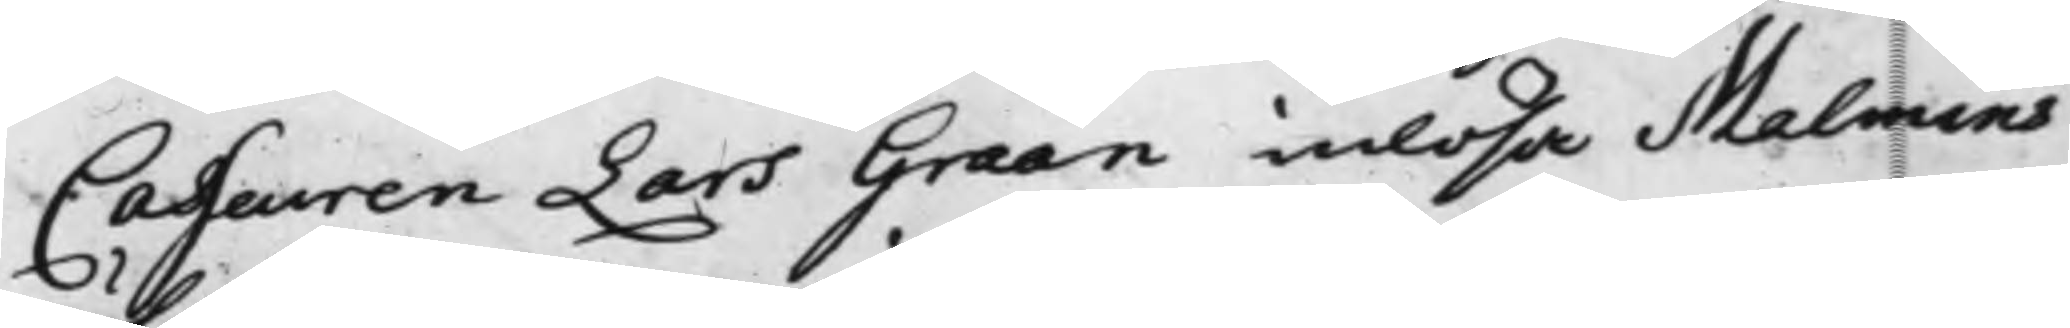Casseuren Lars Graan inlösa Malmins
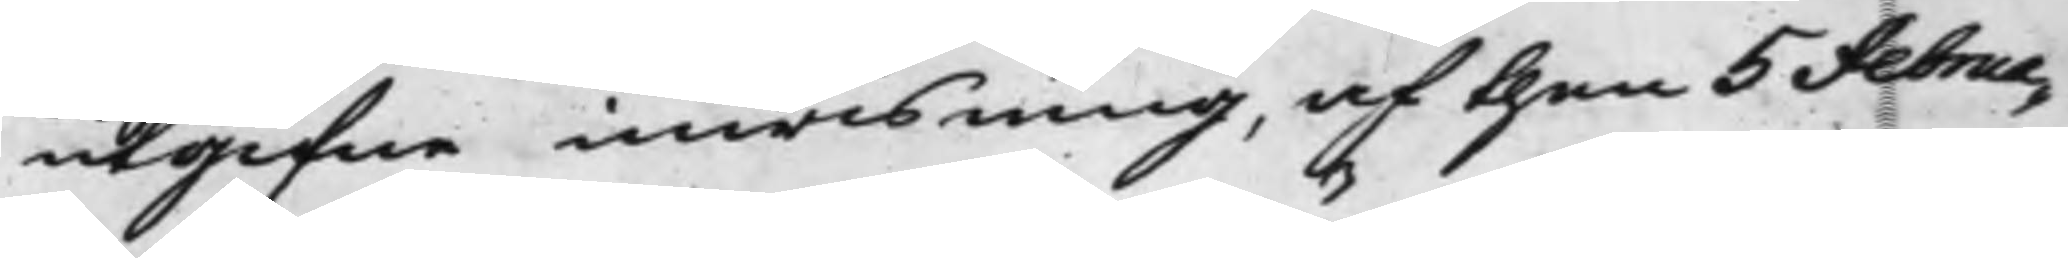utgifne inwisning, af then 5 Februa¬
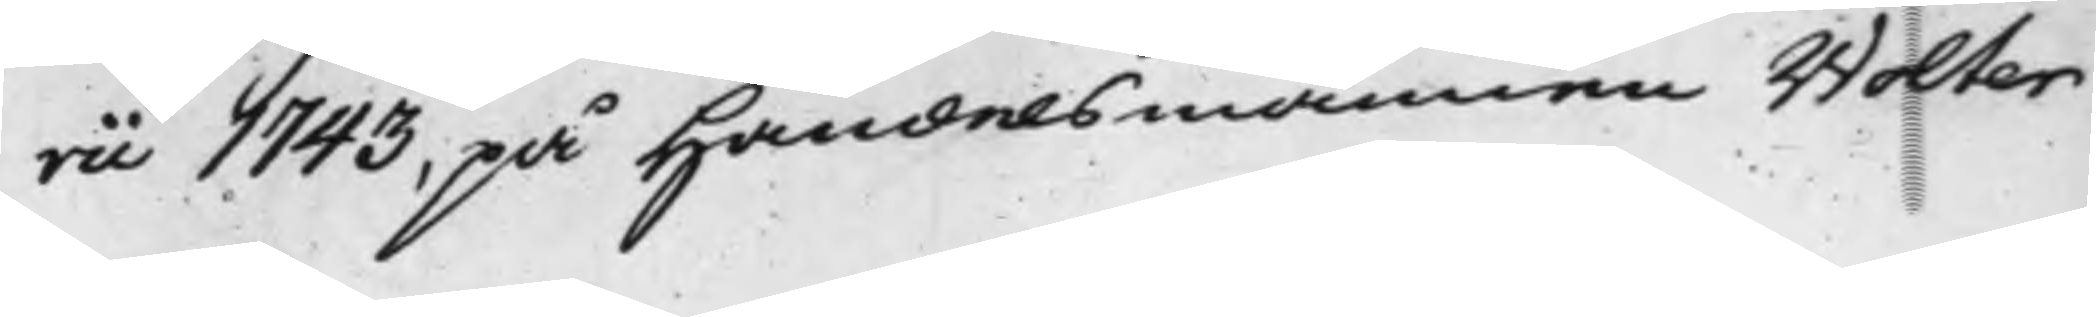rii 1743, på Handelsmännen Wolter
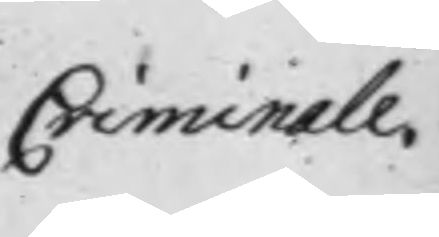Criminale.
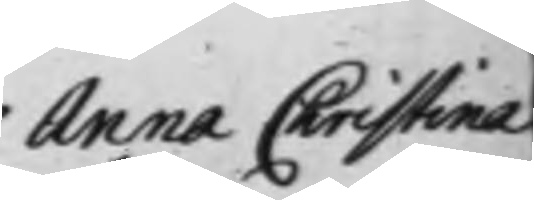Anna Christina
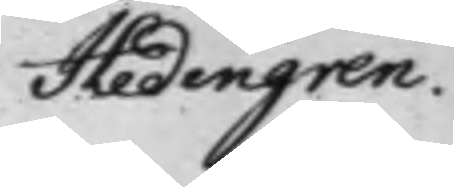Hedengren.
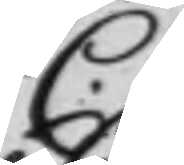C.
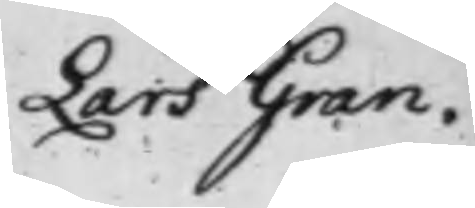Lars Gran.
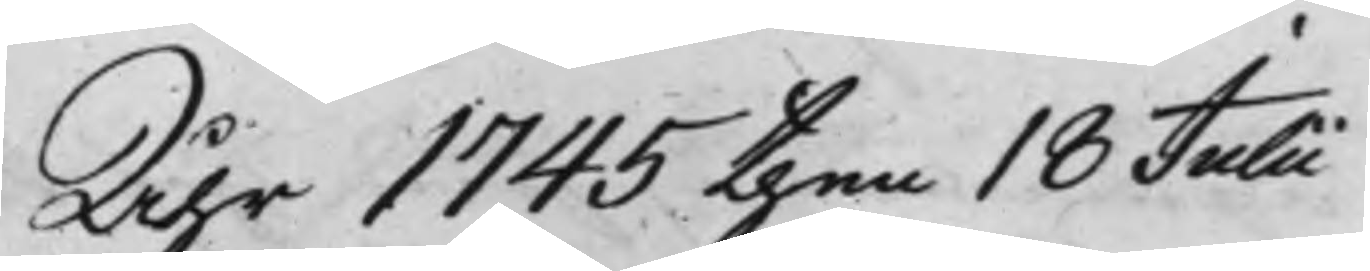Åhr 1745 then 18 Julii
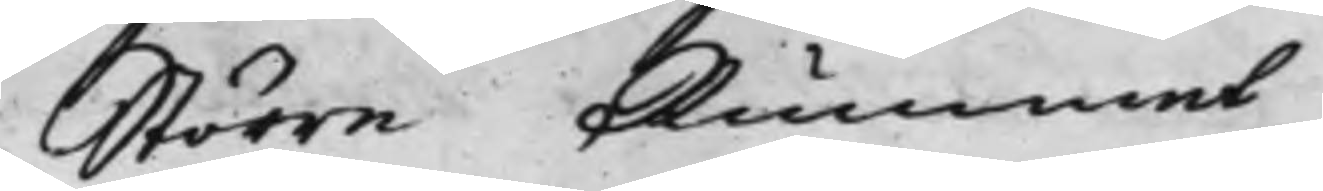Större Rummet
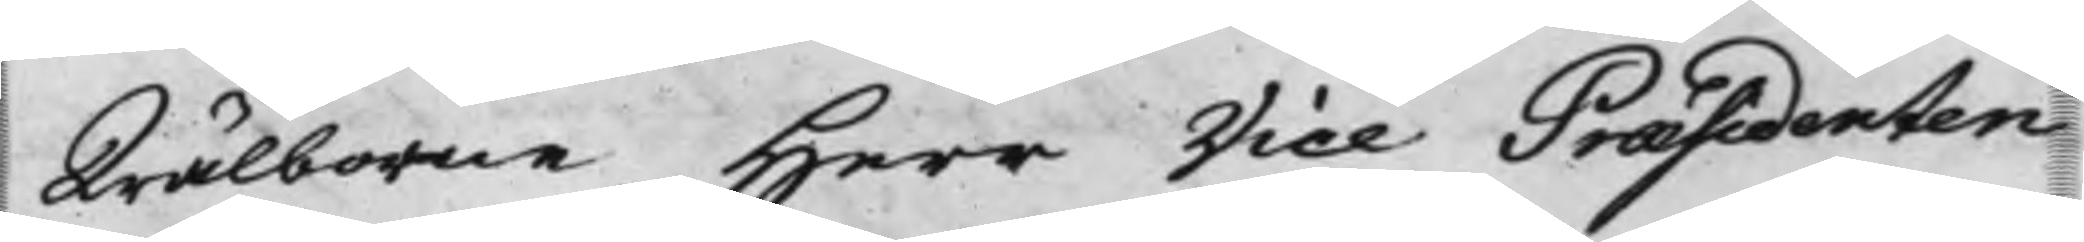Wälborne Herr Vice Præsidenten
